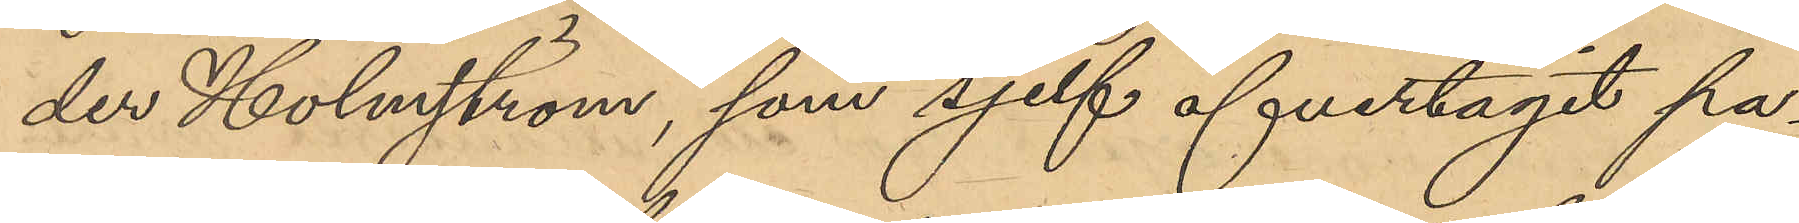der Holmström, som sjelf öfvertagit pa¬
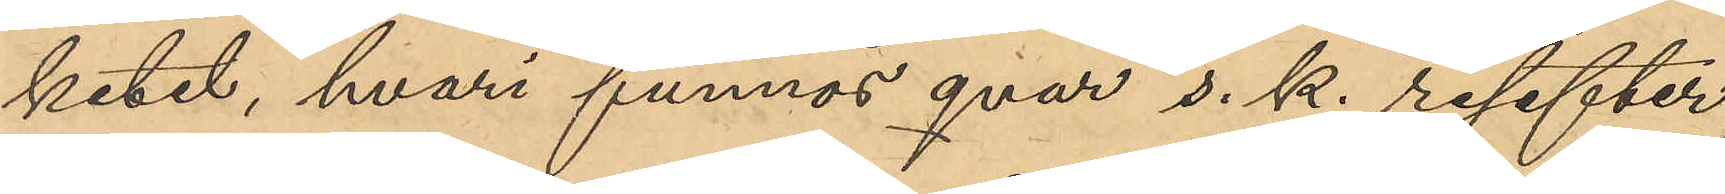ketet, hvari funnos qvar s. k. resefter,
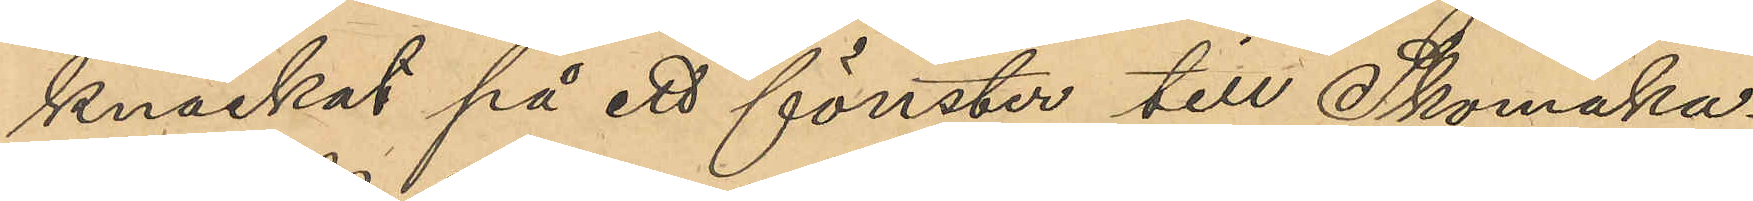knackat på ett fönster till Skomaka¬
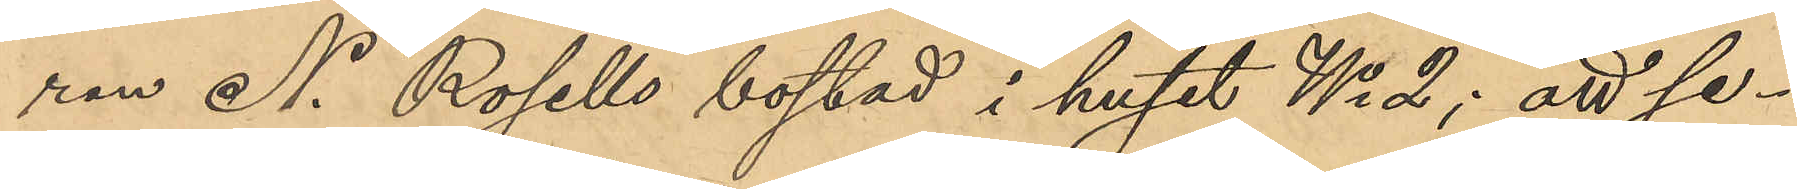ren N. Rosells bostad i huset No 2; att se¬
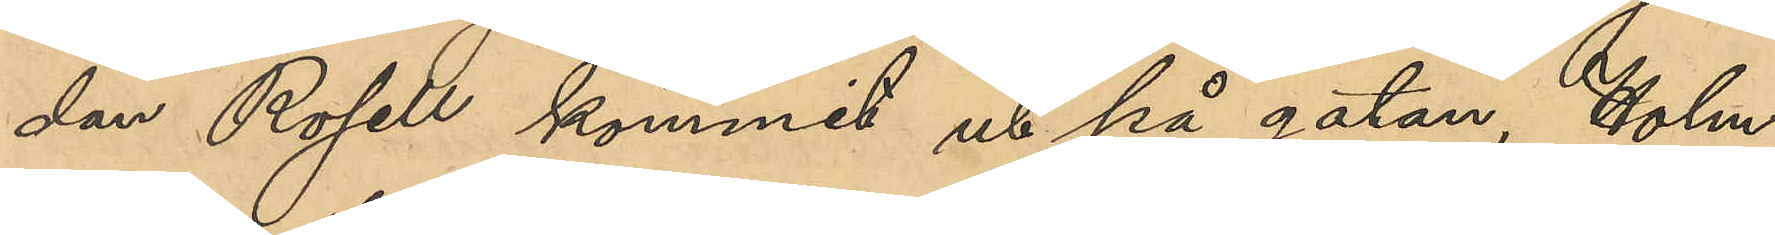dan Rosell kommit ut på gatan, Holm¬
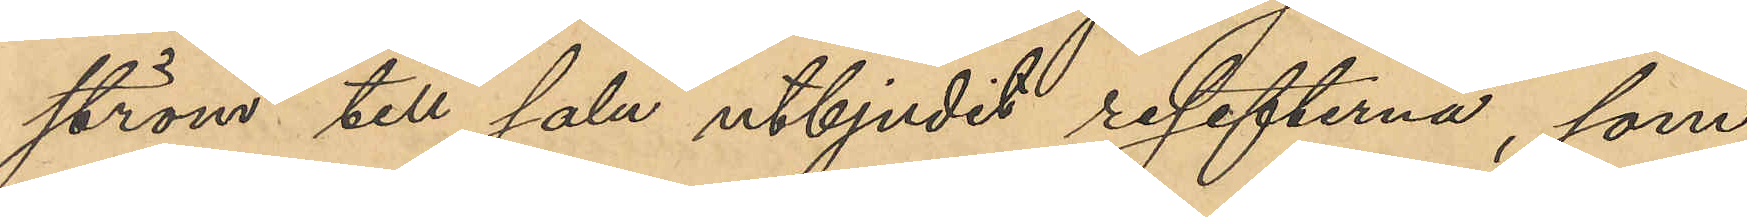ström till salu utbjudit resefterna, som
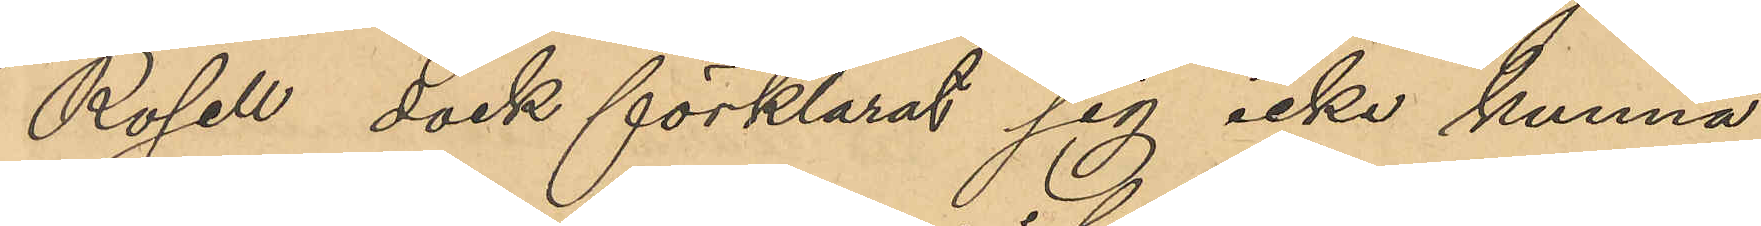Rosell dock förklarat sig icke kunna
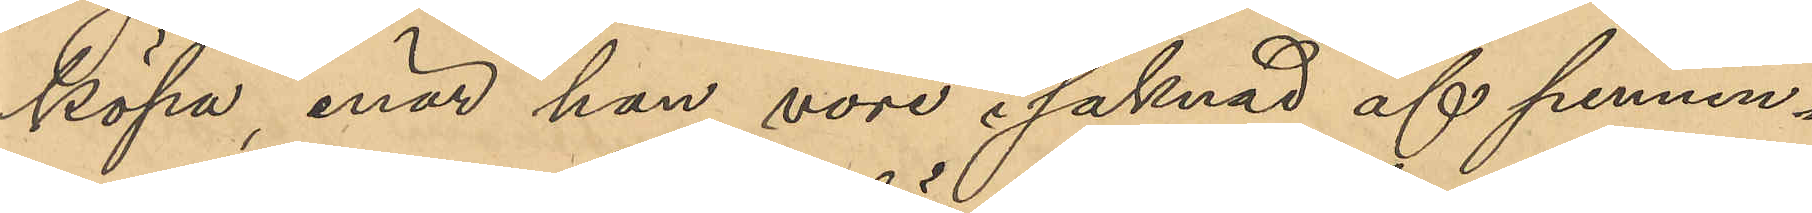köpa, enär han vore i saknad af pennin¬
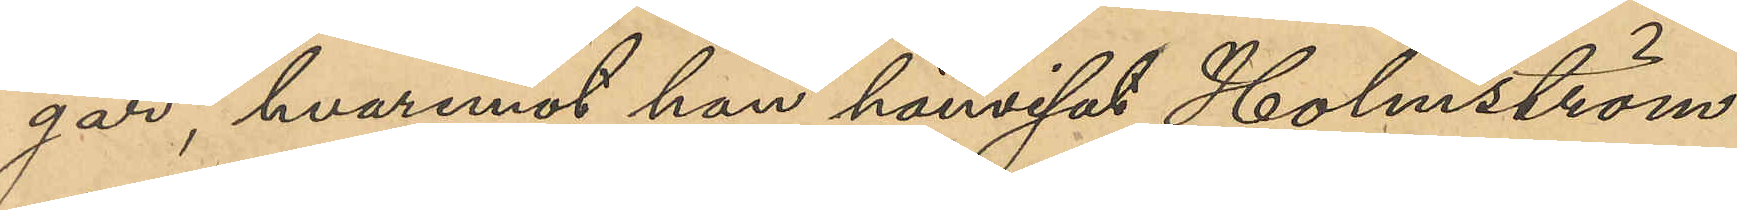gar, hvaremot han hänvisat Holmström
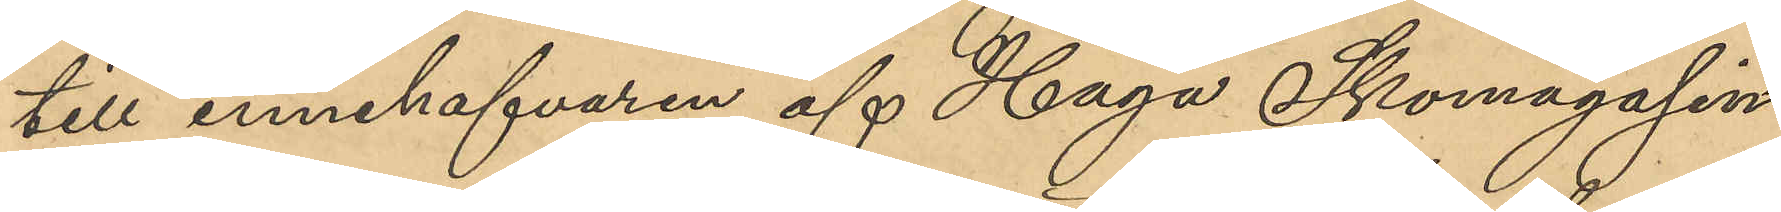till innehafvaren af Haga Skomagasin
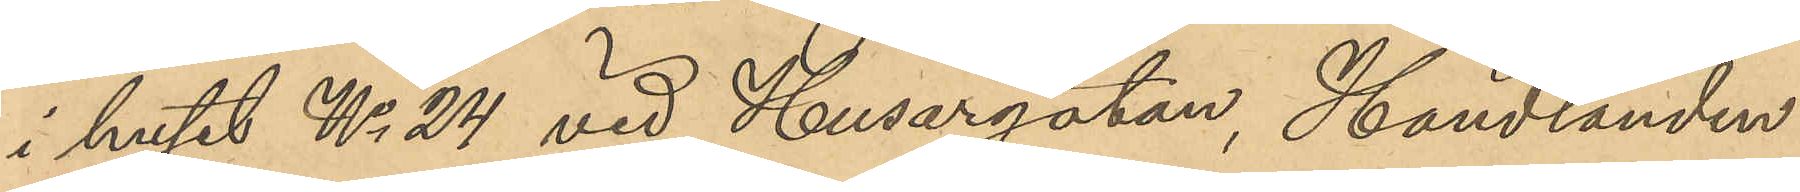i huset No 24 vid Husargatan, Handlanden
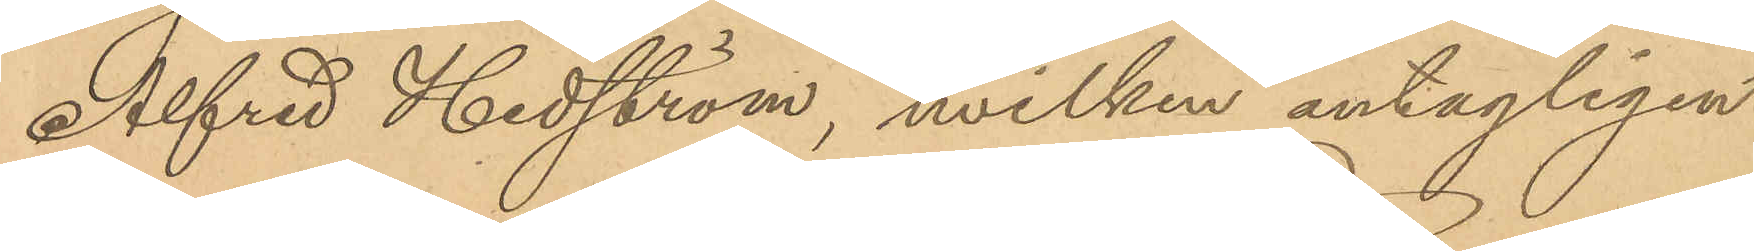Alfred Hedström, hvilken antagligen
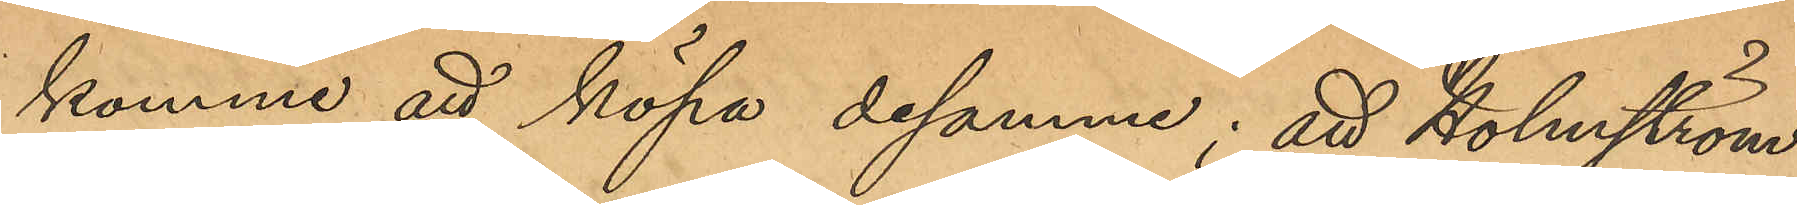komme att köpa desamma; att Holmström
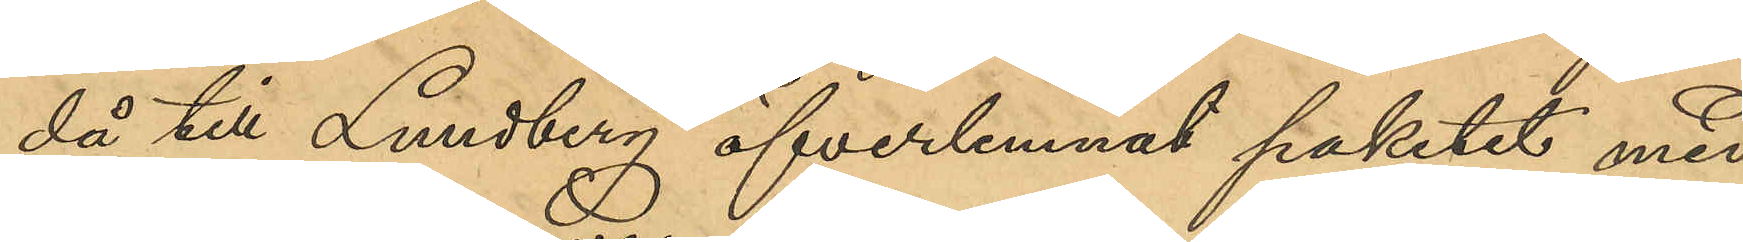då till Lundberg öfverlemnat paketet med
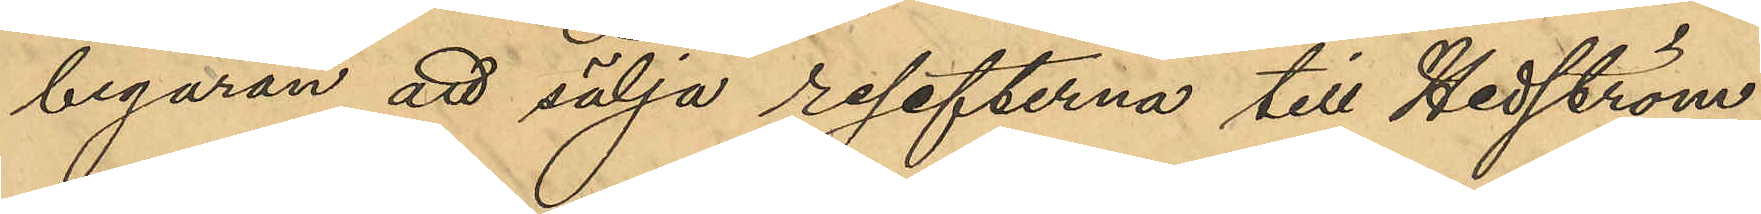begäran att sälja resefterna till Hedström;
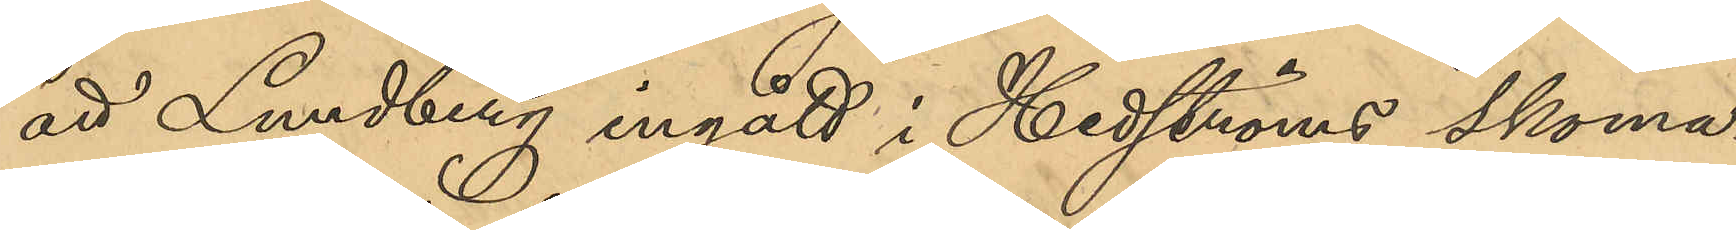att Lundberg ingått i Hedströms skoma¬
